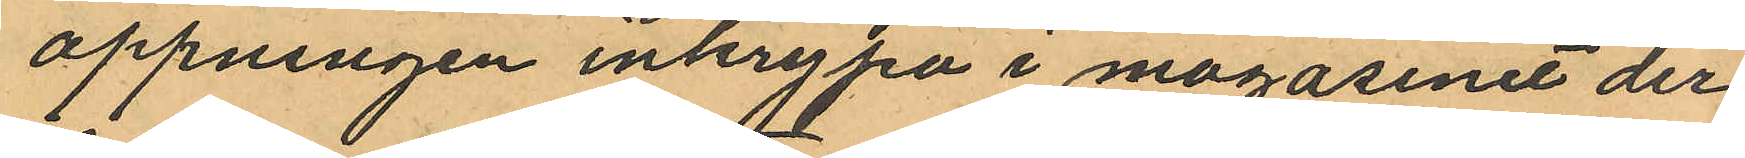öppningen inkrypa i magasinet der
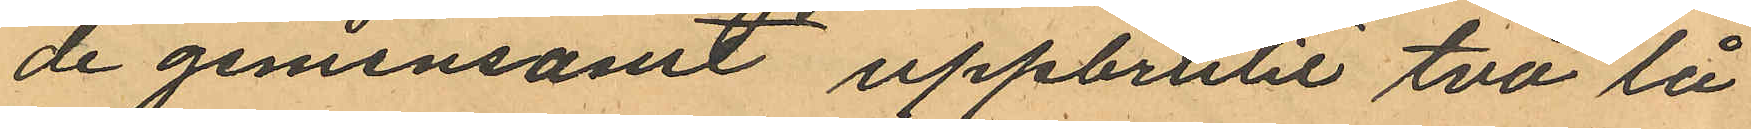de gemensamt uppbrutit två lå
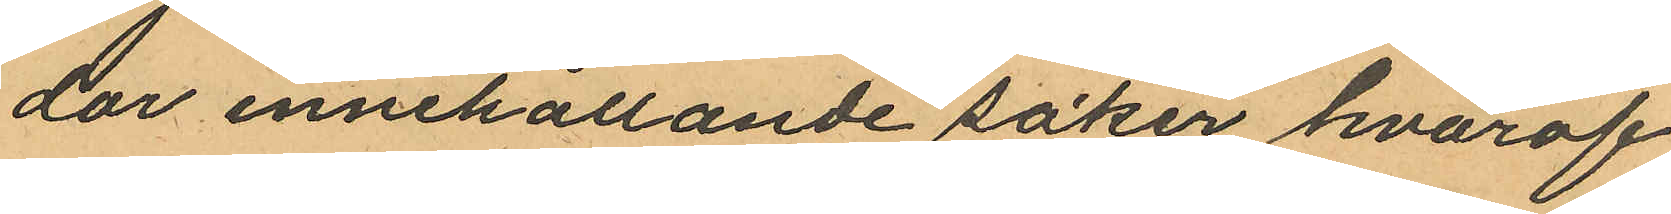dor innehållande soker hvaraf
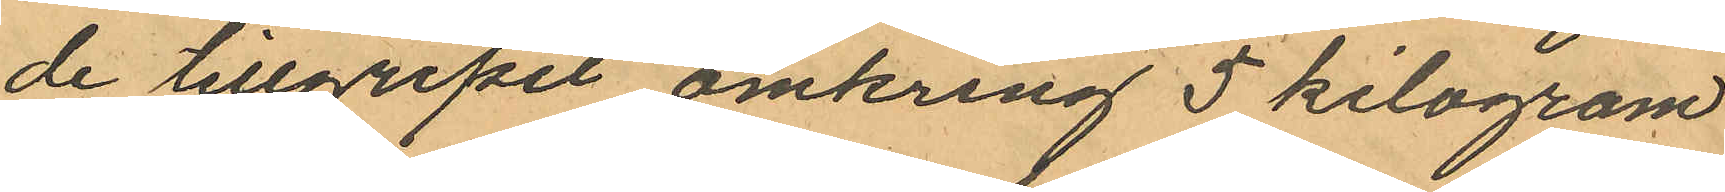de tillgripit omkring 5 kilogram
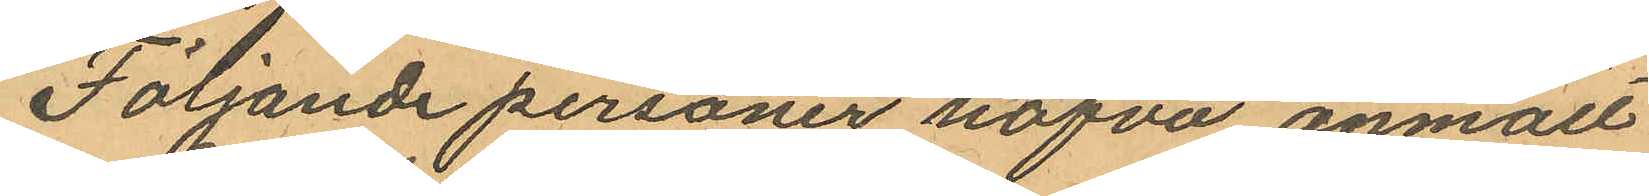Följande personer hafva anmält
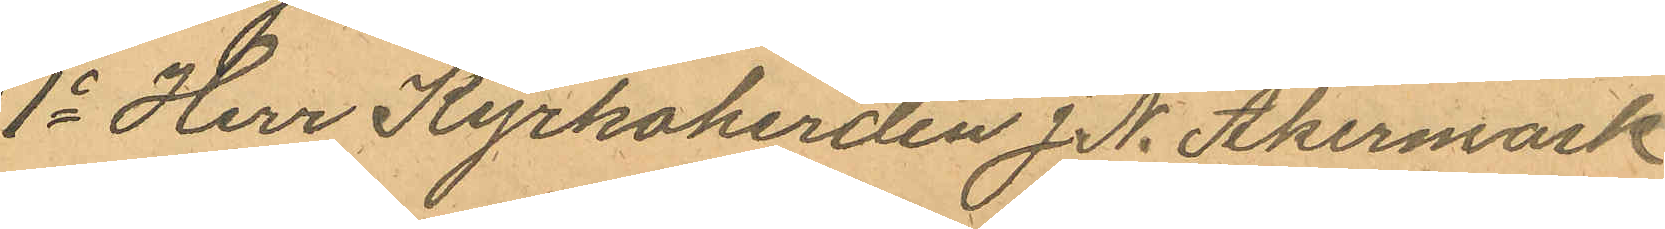1o Herr Kyrkoherden J. N. Åkermark
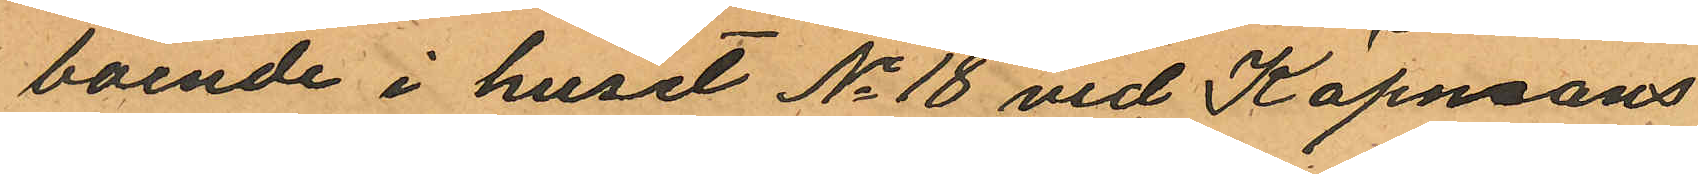boende i huset No 18 vid Köpmans
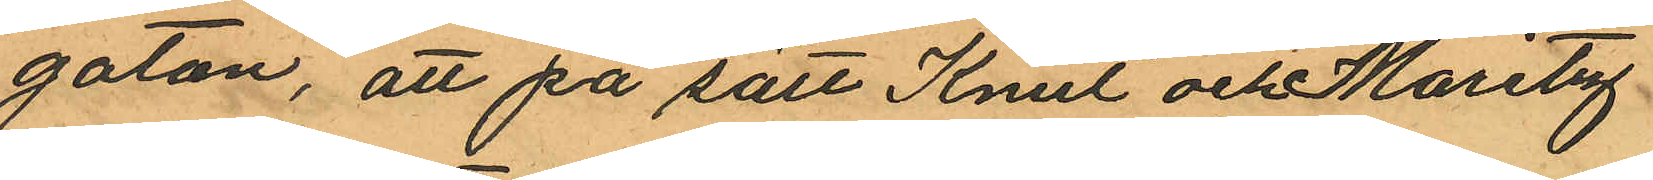gatan, att på sätt Knut och Moritz
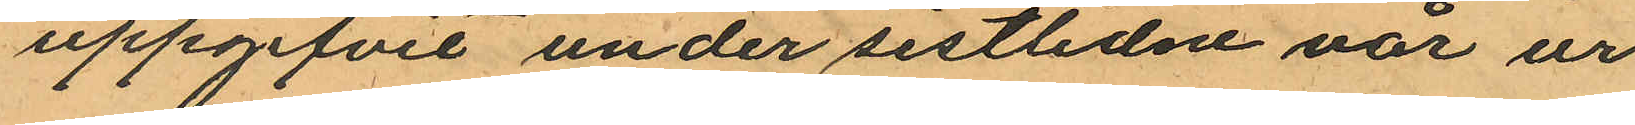uppgifvit under sistlidne vår ur
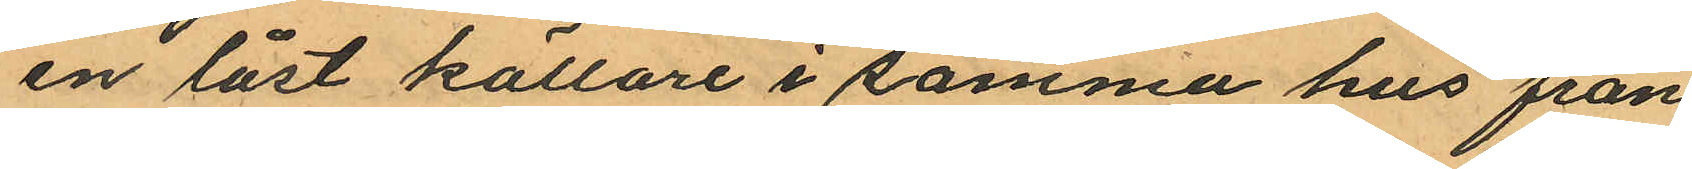en låst källare i samma hus från
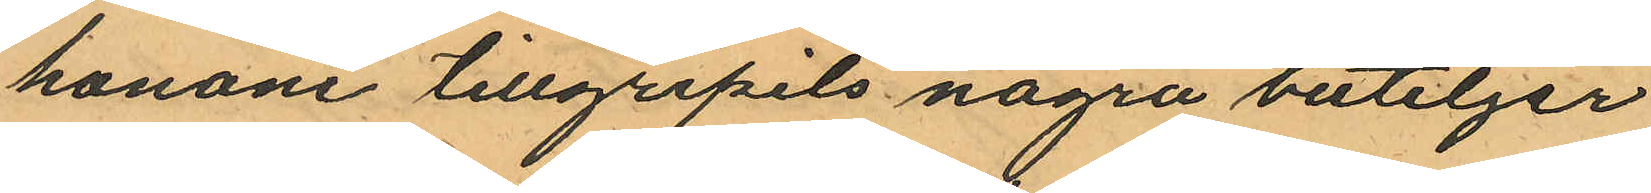honom tillgripits några buteljer
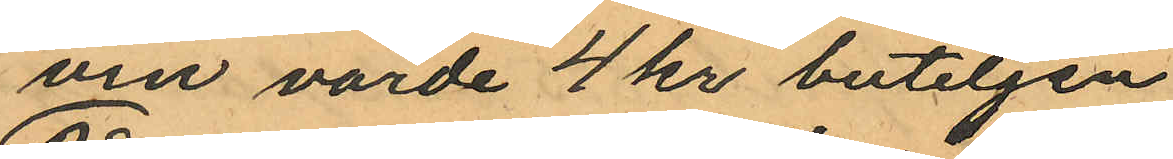vin värde 4 kr buteljen
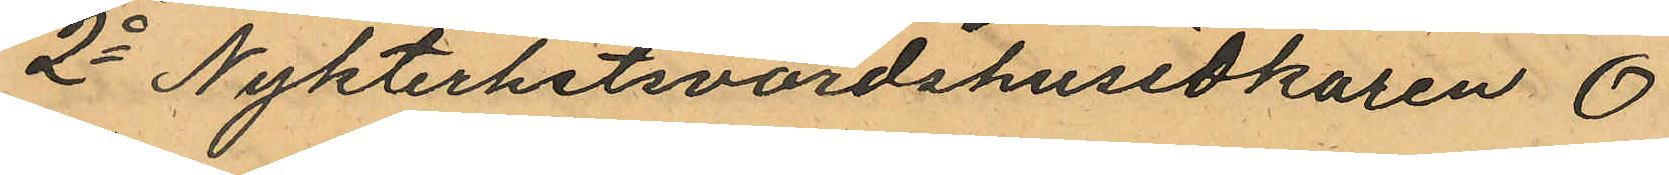2o Nykterhetsvärdshusidkaren O
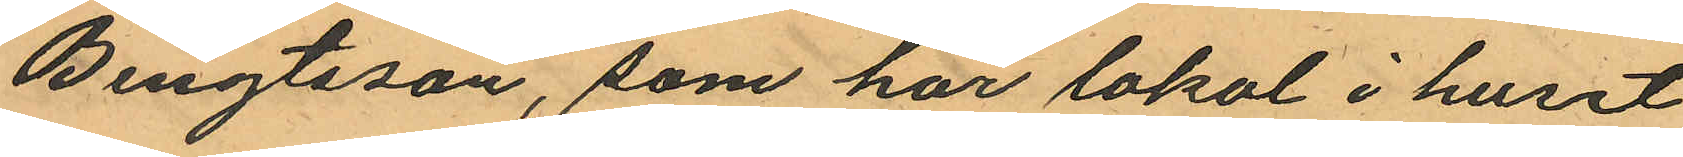Bengtsson, som har lokal i huset
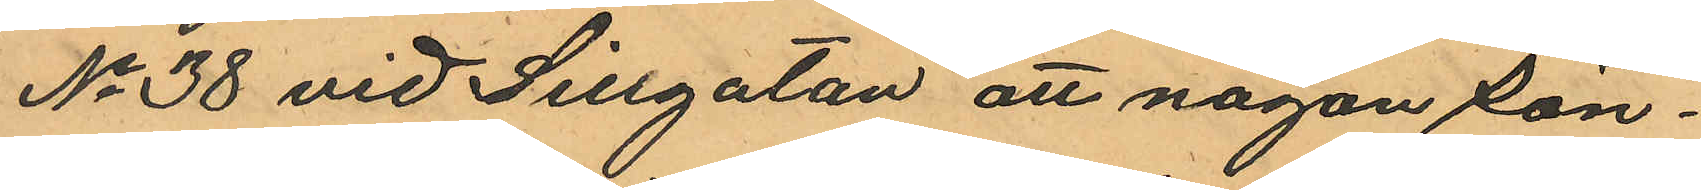No 38 vid Sillgatan att någon Sön¬
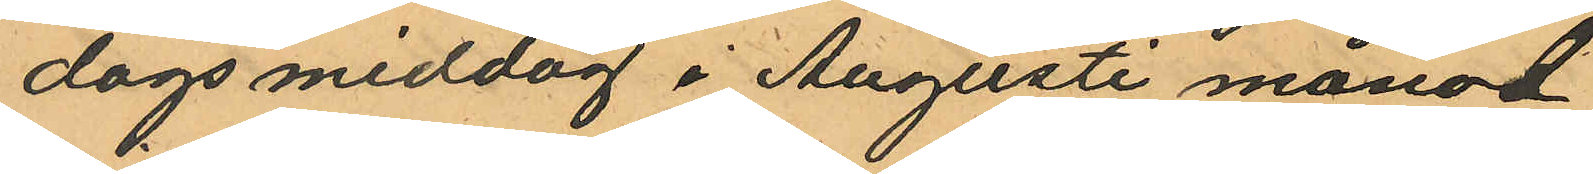dags middag i Augusti månad
